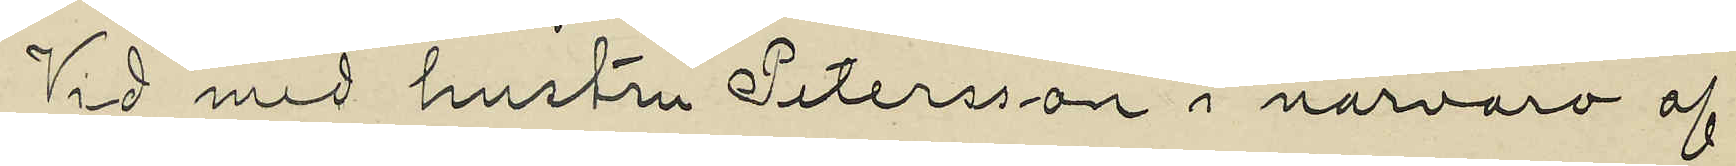Vid med hustru Petersson i narvaro af
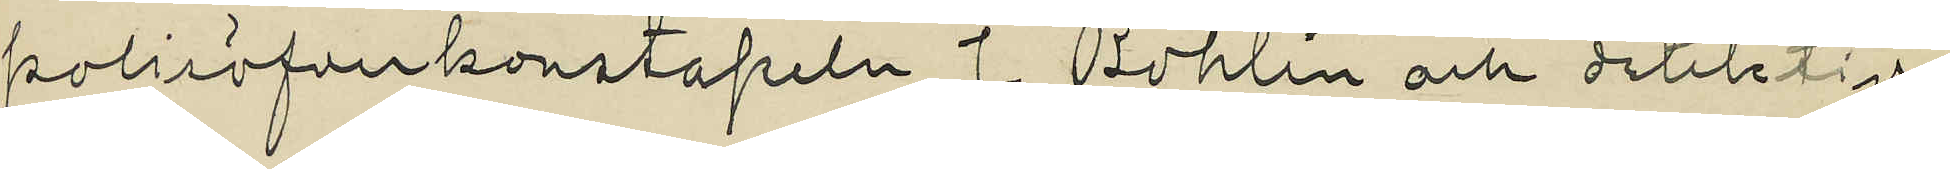polisöfverkonstapeln J. Bohlin och detektiv¬
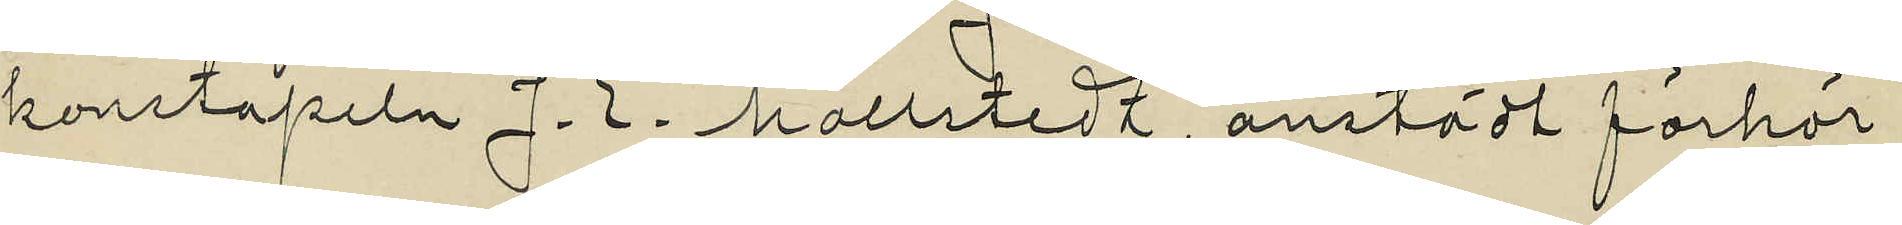konstapeln J. E. Mollstedt, anstält förhör
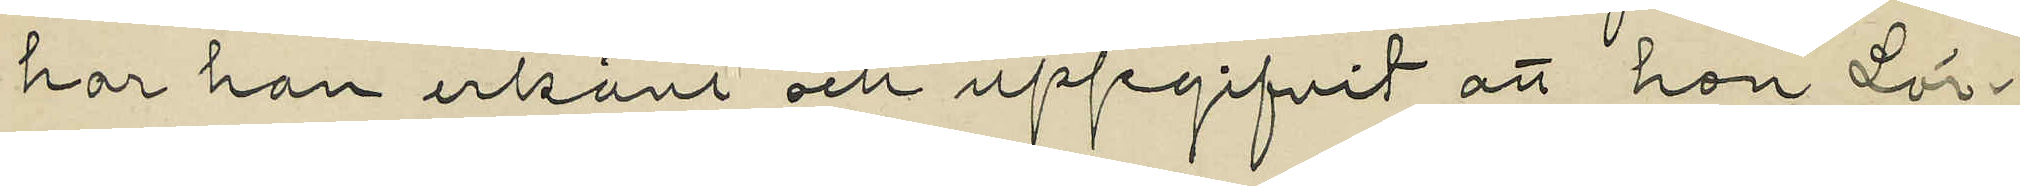har hon erkänt och uppgifvit att hon Lör¬
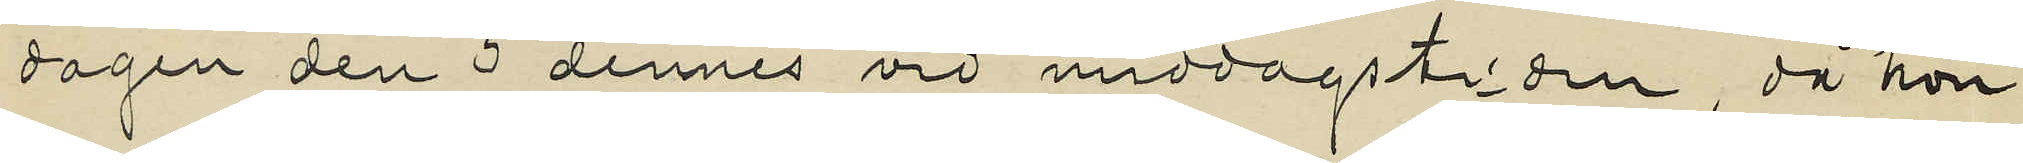dagen den 5 dennes vid middagstiden, då hon
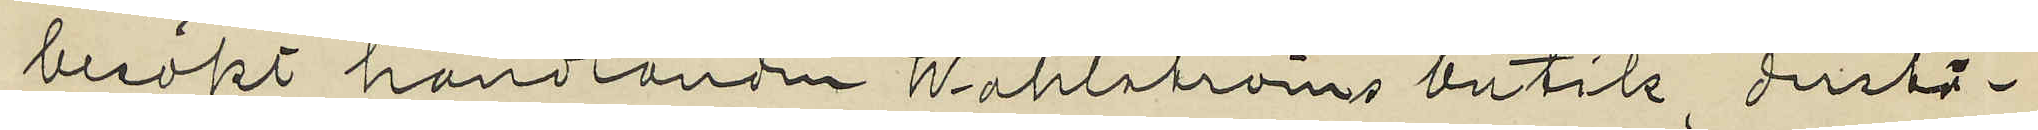besökt handlanden Wahlströms butik derstä¬
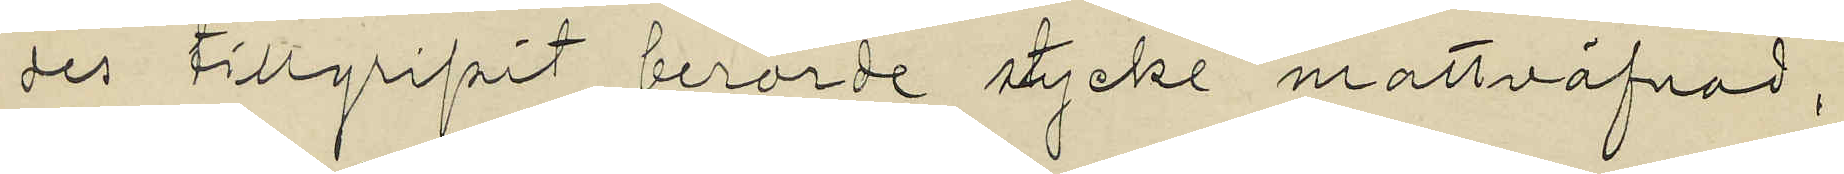des tillgripit berörde stycke mattväfnad,
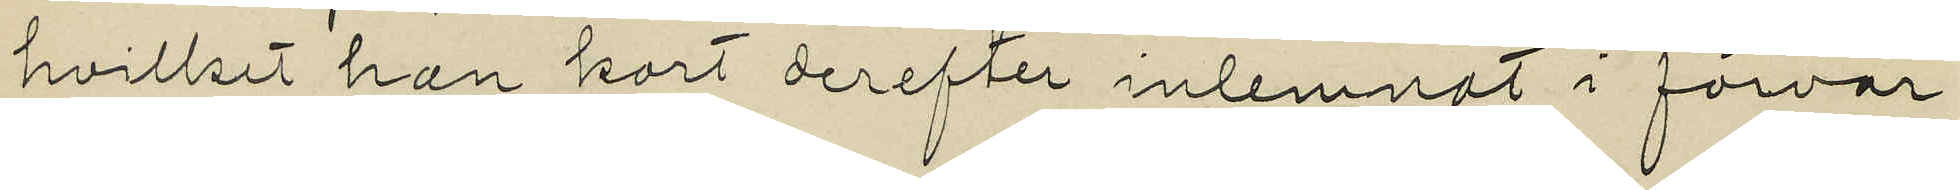hvilket hon kort derefter inlemnat i förvar
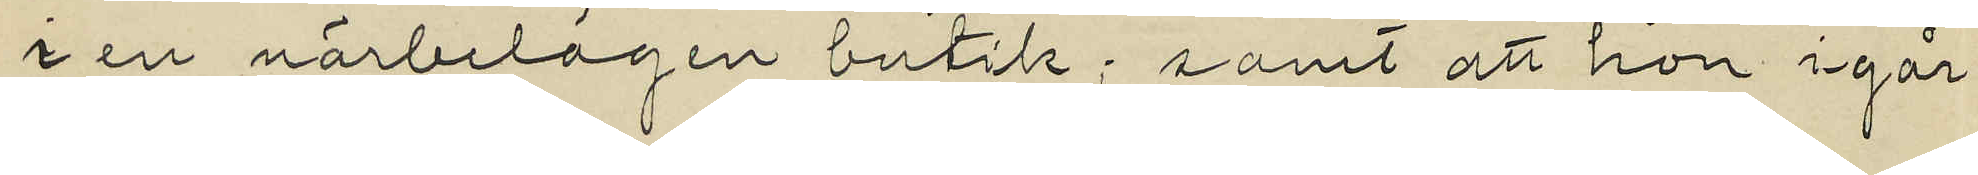i en närbelägen butik; samt att hon igår
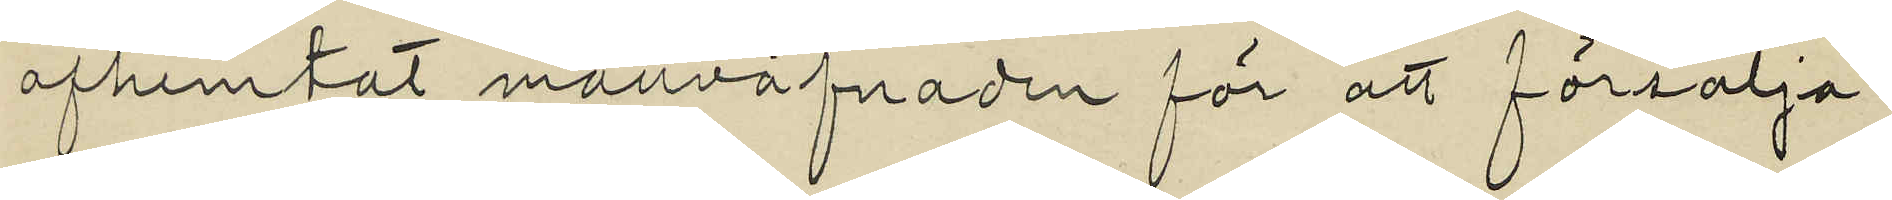afhemtat mattväfnaden för att försälja
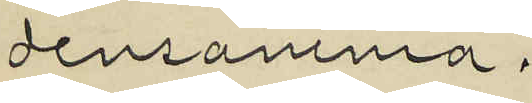densamma.
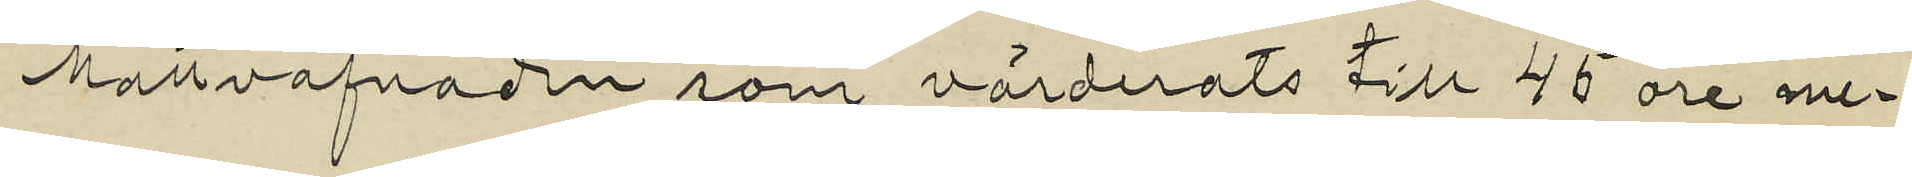Mattväfnaden, som värderats till 45 öre me¬
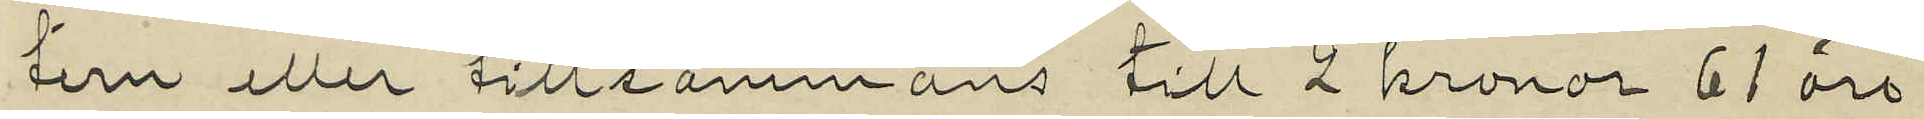tern eller tillsammans till 2 kronor 61 öre
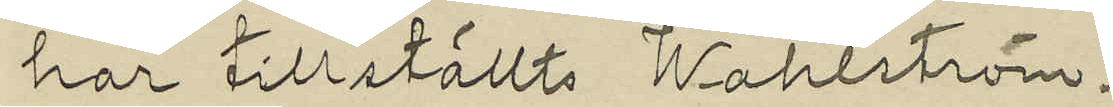har tillställts Wahlström.
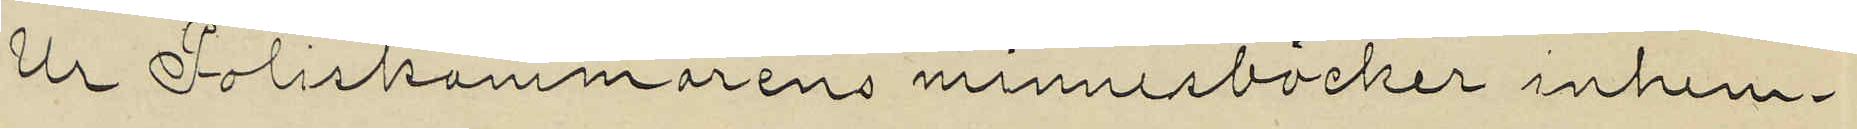Ur Poliskammarens minnesböcker inhem¬
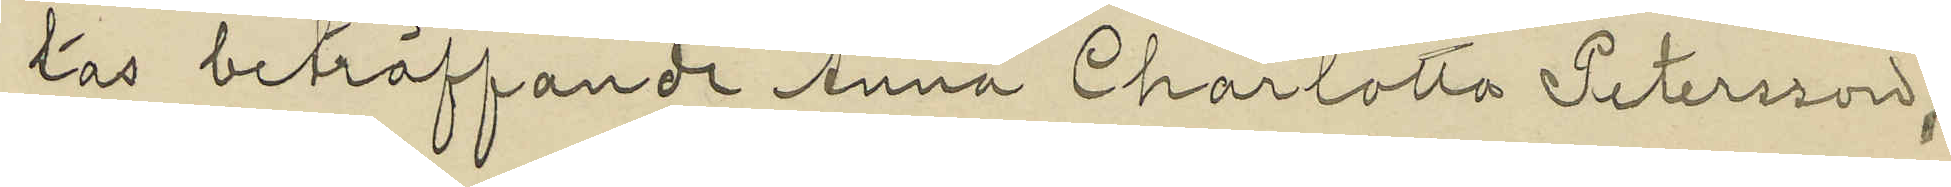tas beträffande Anna Charlotta Petersson,
